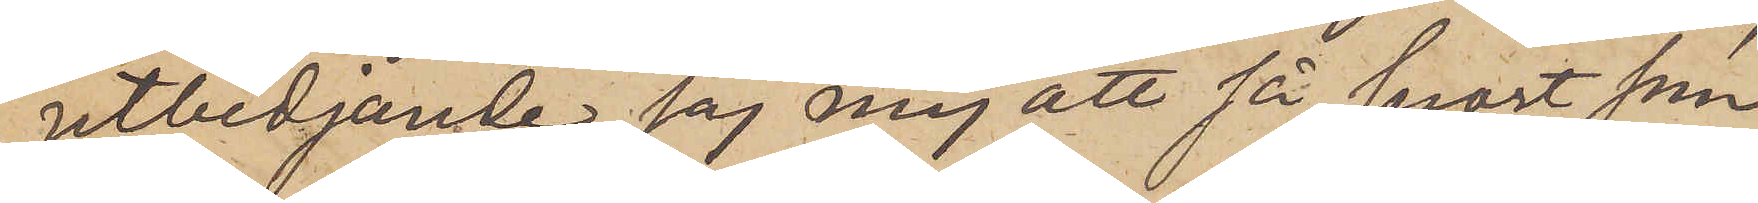Utbedjande jag mig att så snart som
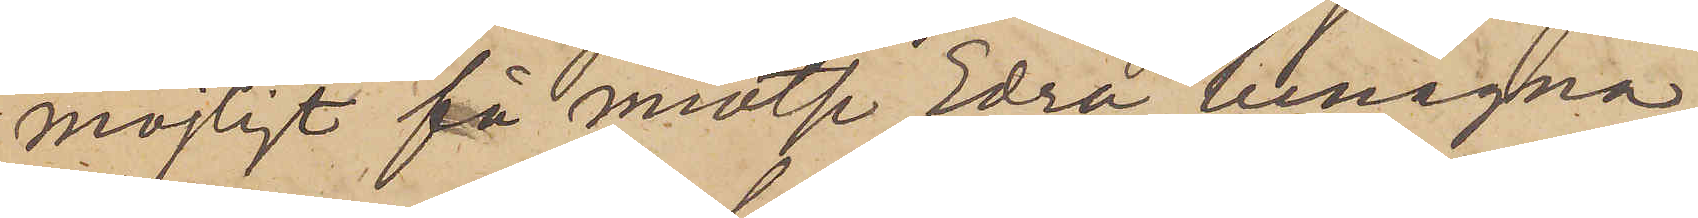möjligt få motse Edra benägna
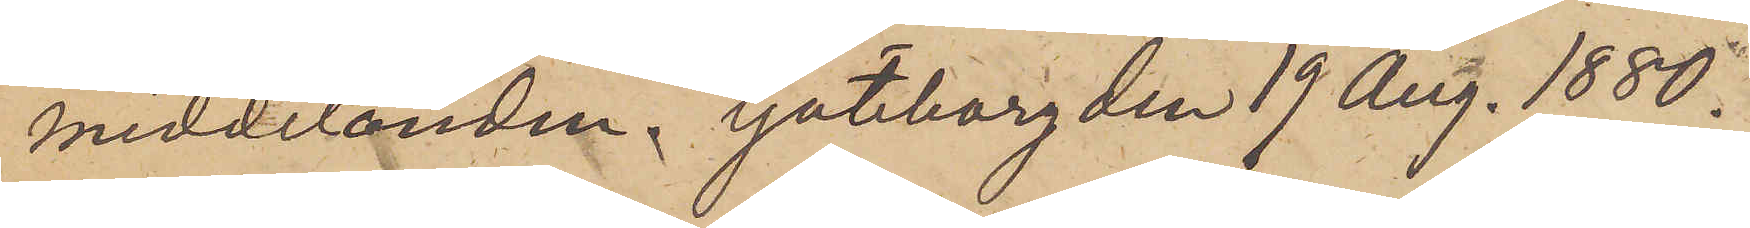meddelanden. Göteborg den 19 Aug. 1880.
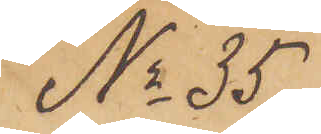No 35
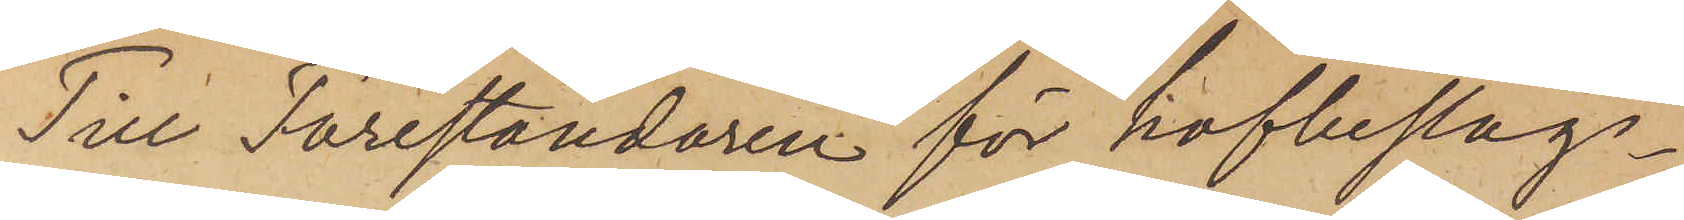Till Föreståndaren för hofbeslags¬
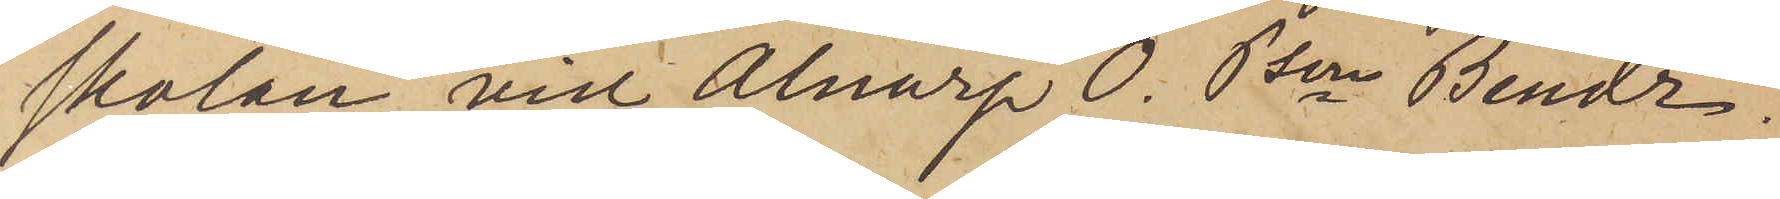skolan vid Alnarp O. Pson Bendz.
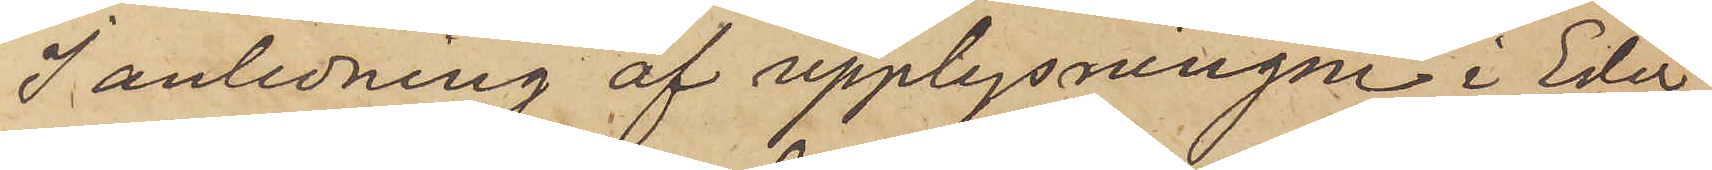I anledning af upplysningen i Eder
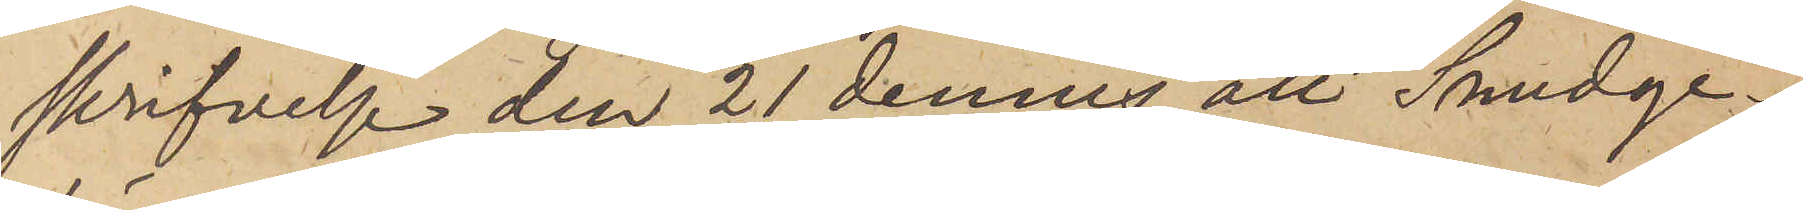skrifvelse den 21 dennes att Smedge¬
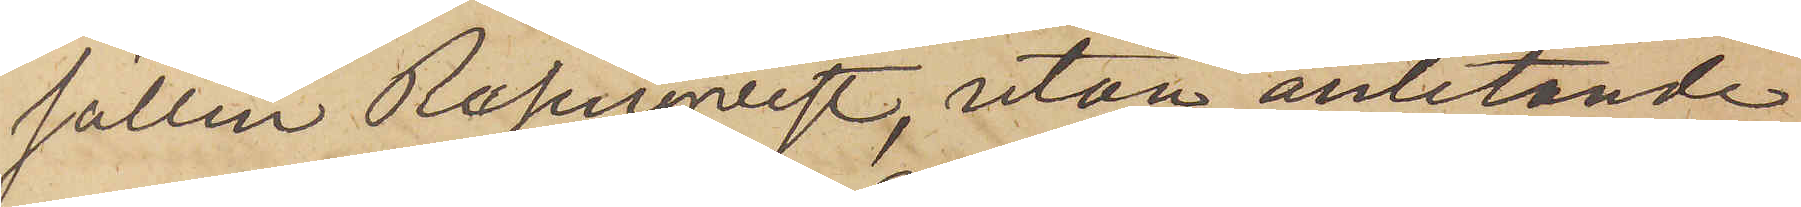sällen Rosenqvist, utan anlitande
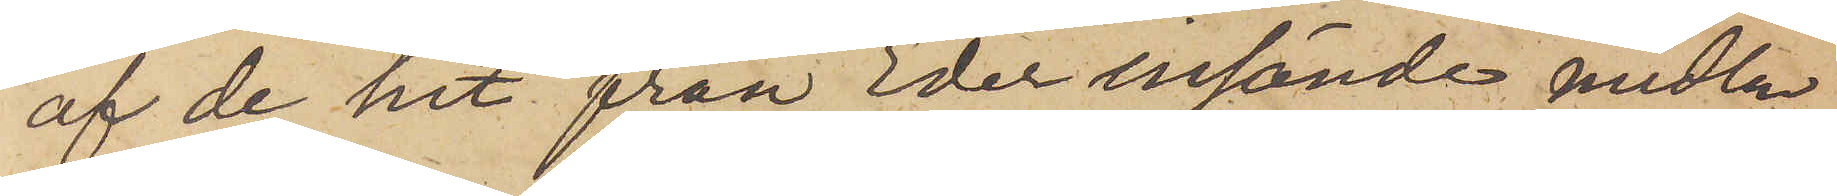af de hit från Eder insände medlen
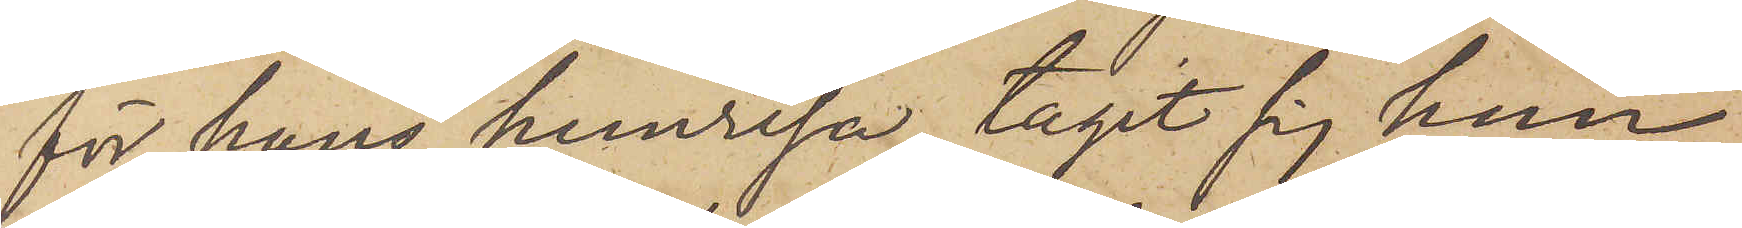för hans hemresa, tagit sig hem,
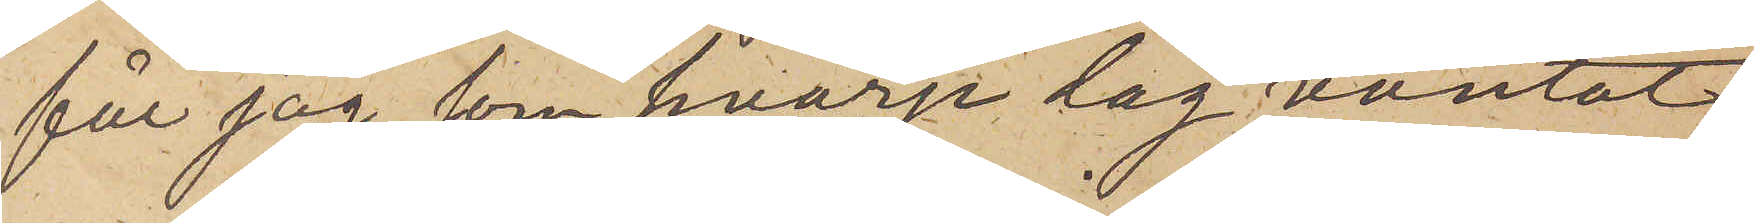får jag, som hvarje dag väntat
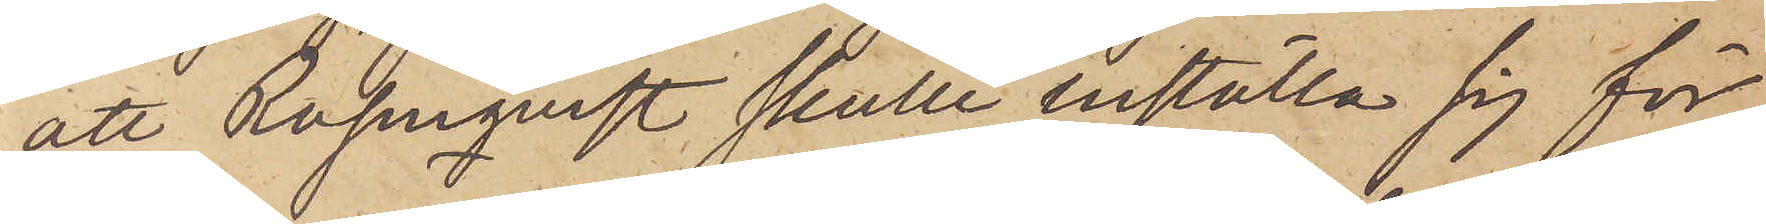att Rosenqvist skulle inställa sig för
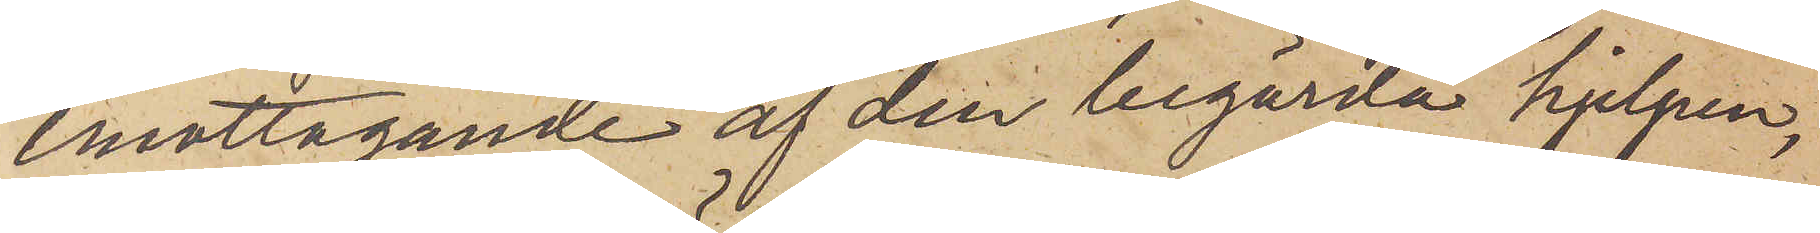emottagande af den begärda hjelpen,
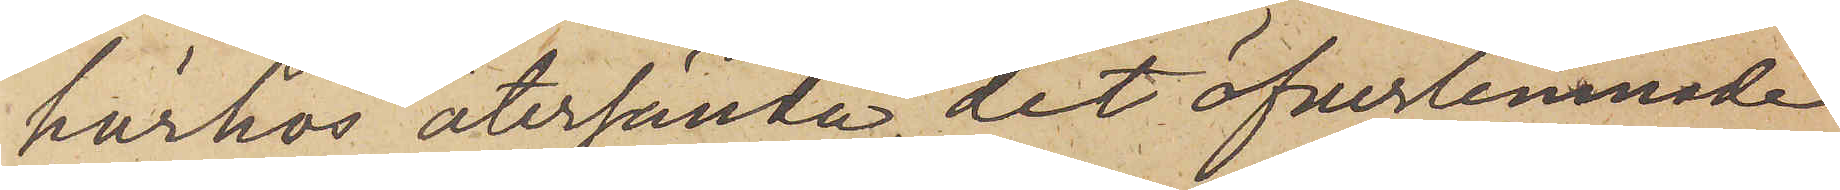härhos återsända det öfverlemnade
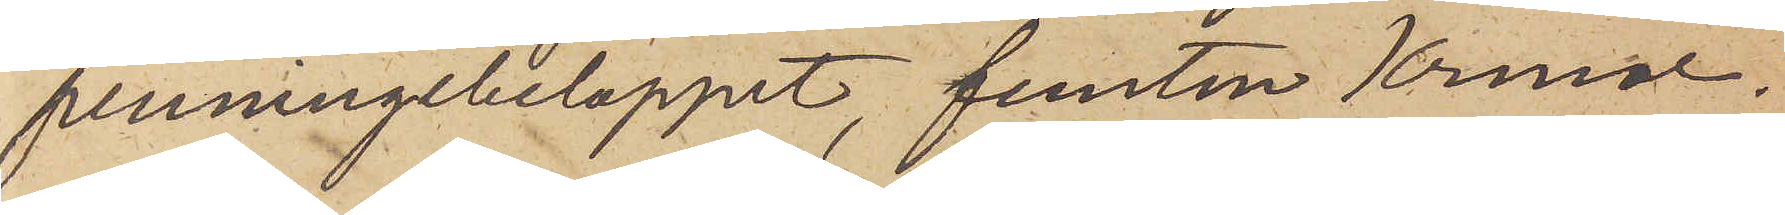penningebeloppet, femton Kronor.
